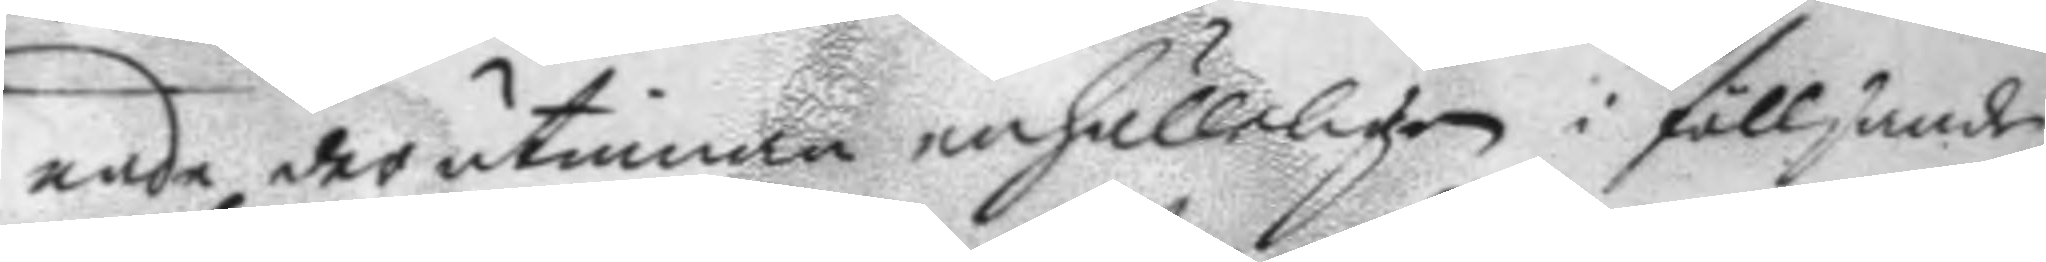nade der utinnan enhälligen i fölljande
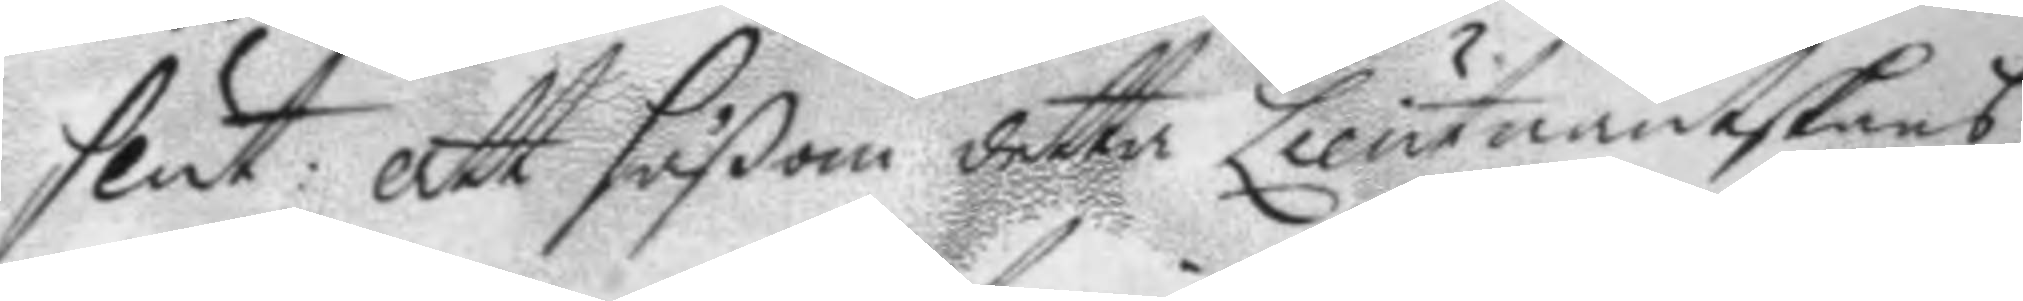slut: att såßom detta Lieutnantskans
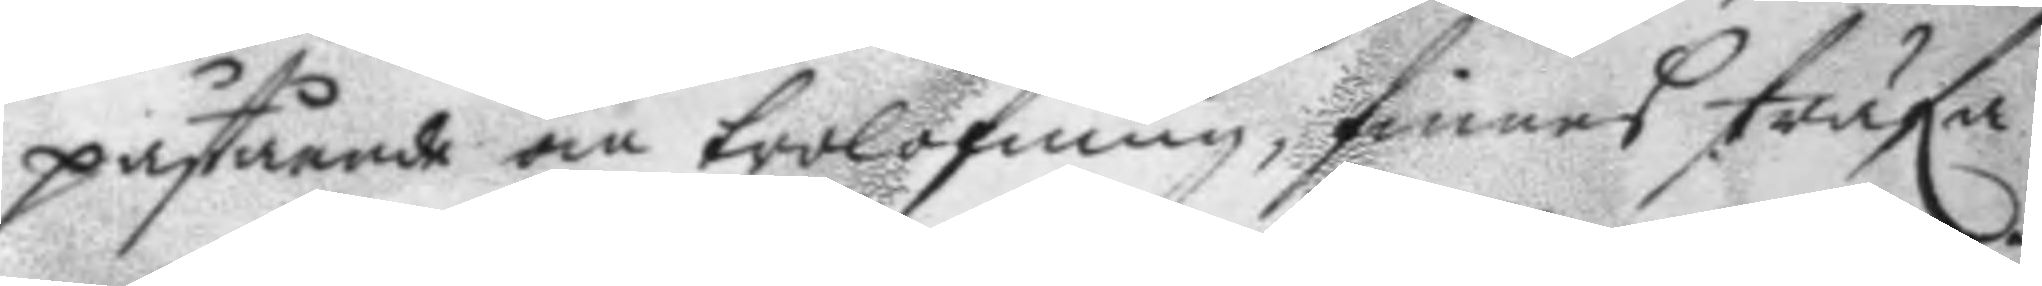påstående om trolofning, finnes sträfa
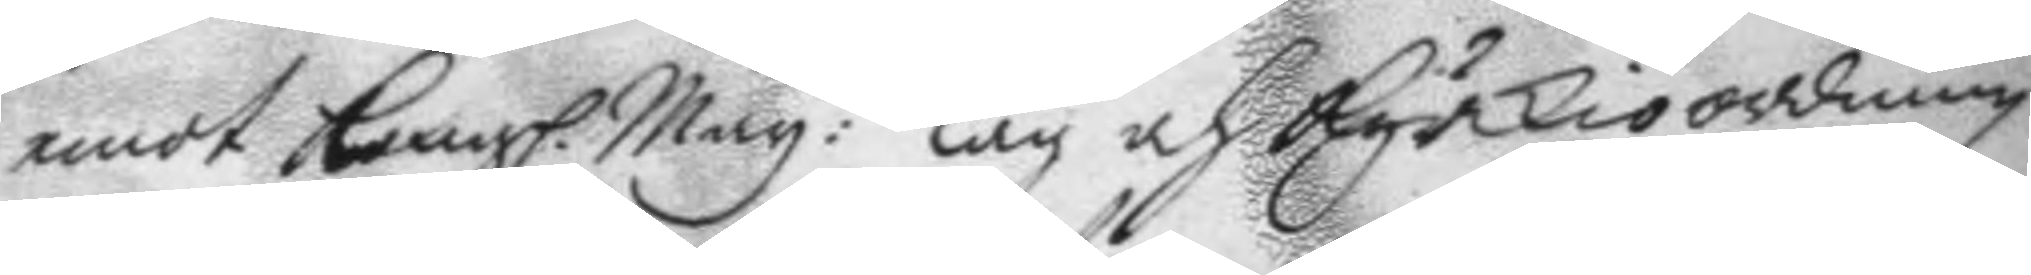emot Kongl. May:ttz Lag och Kyrkioordning
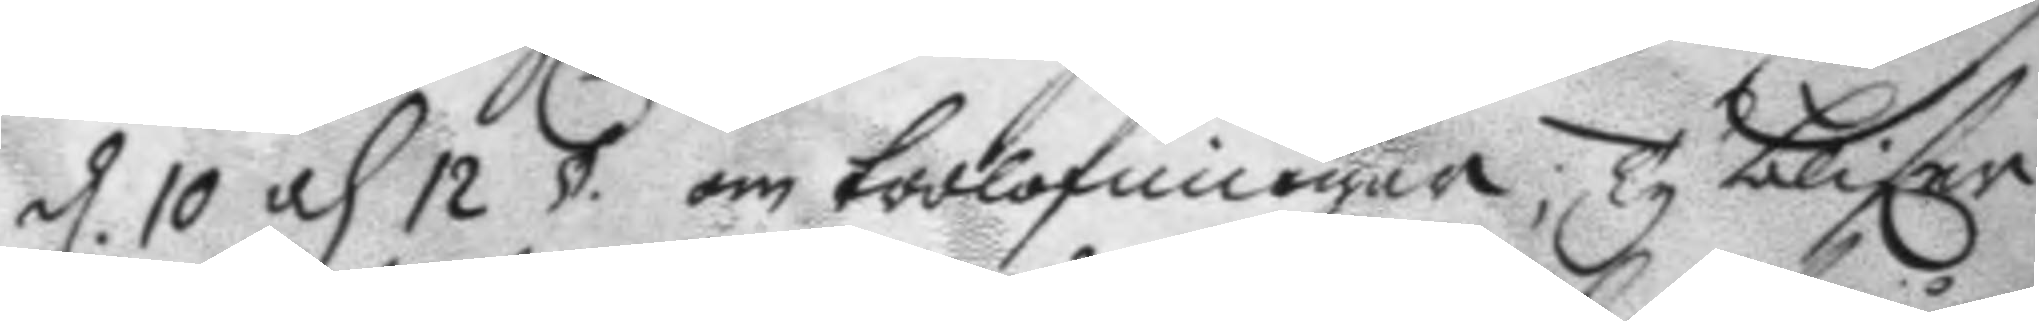d. 10 och 12 § om trolofningar; Ty blifer
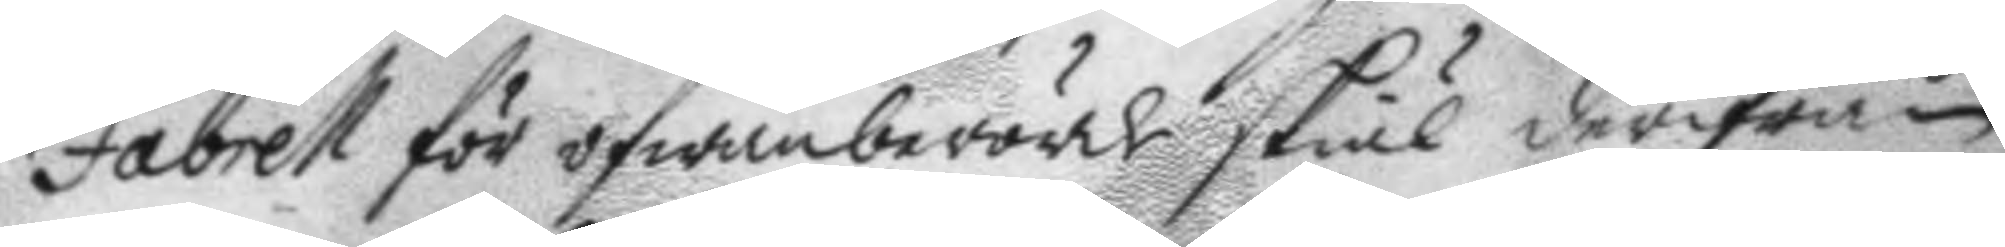Fabrell för ofwanberörde skiäl derifrån
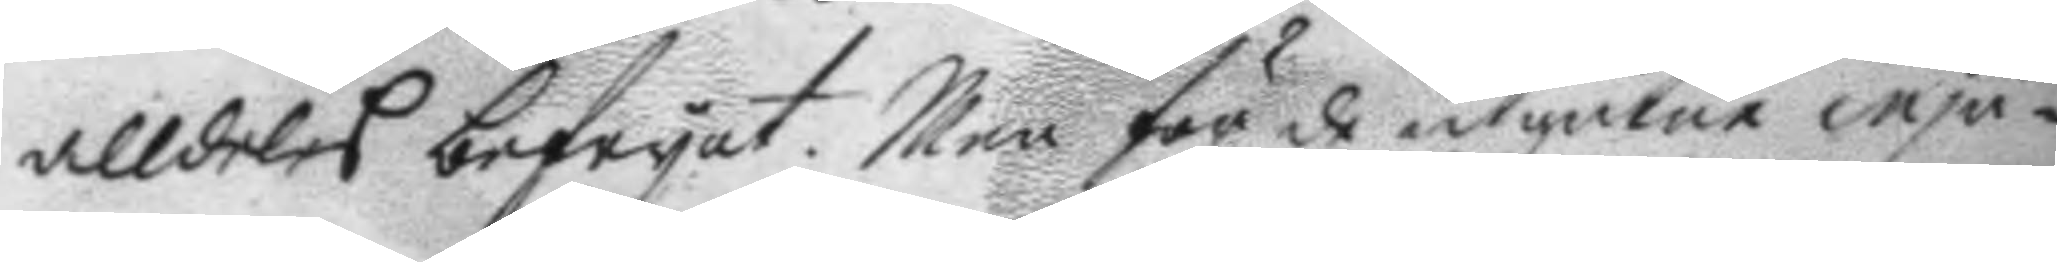alldeles befryat. Men för de utgutne inju¬
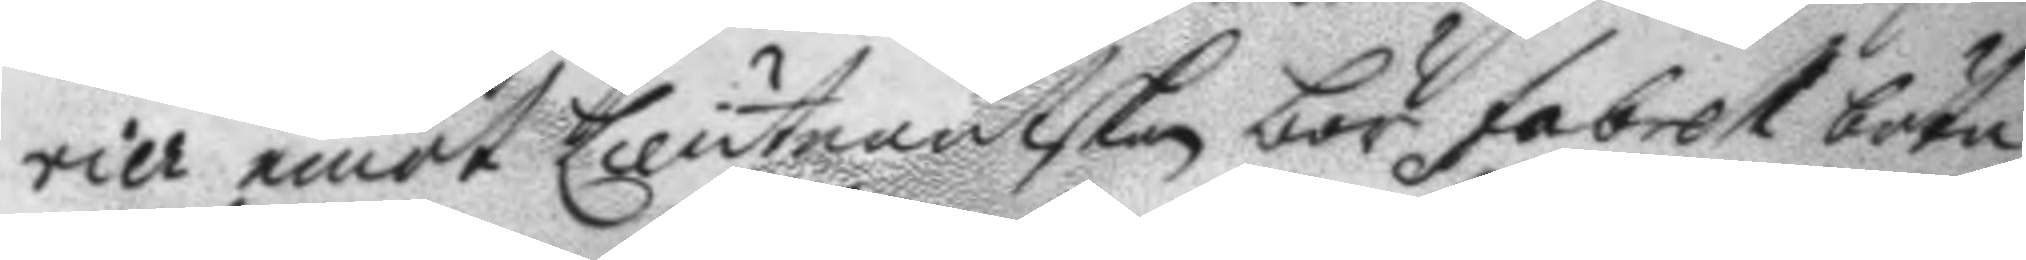rier emot Lieutnantskan bör fabrell böta
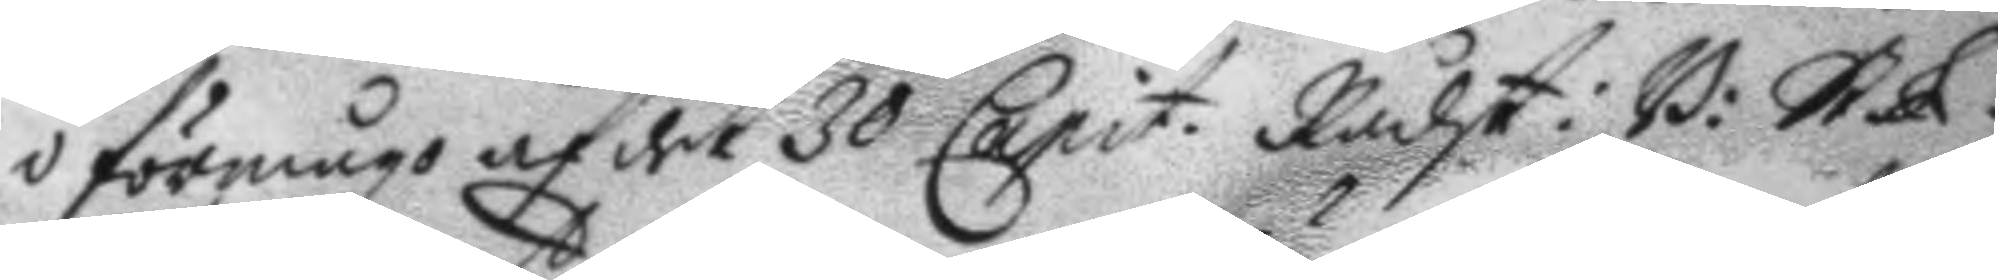i förmågo af det 30 Capit. Rådst: B: st L. 
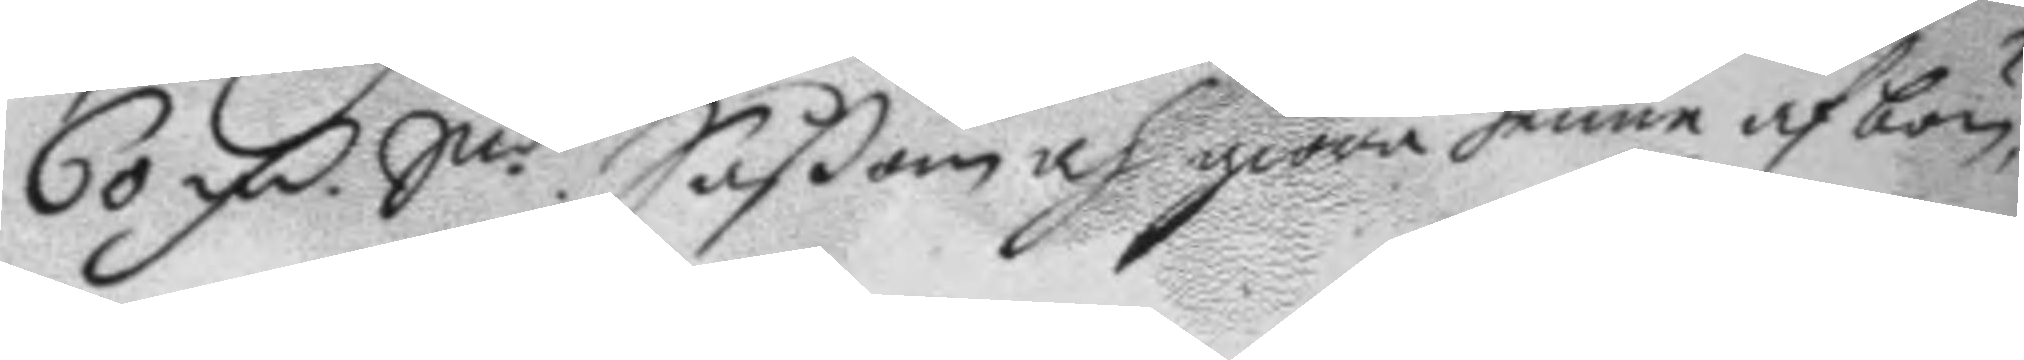60 Fm Smt. Såßom och giöra henne afbön,
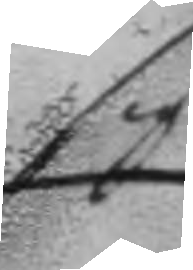sig
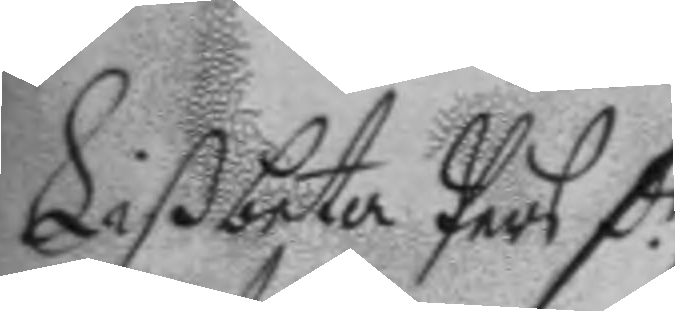Lißbeta Pers d.r
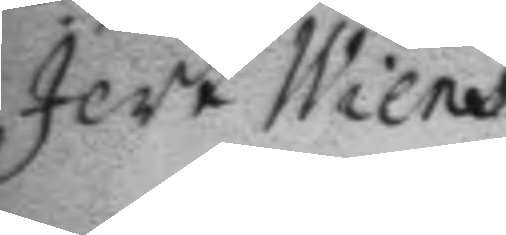Jert Wiens
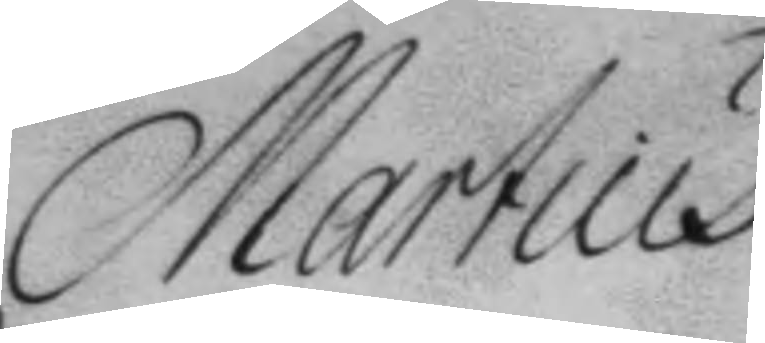Martius
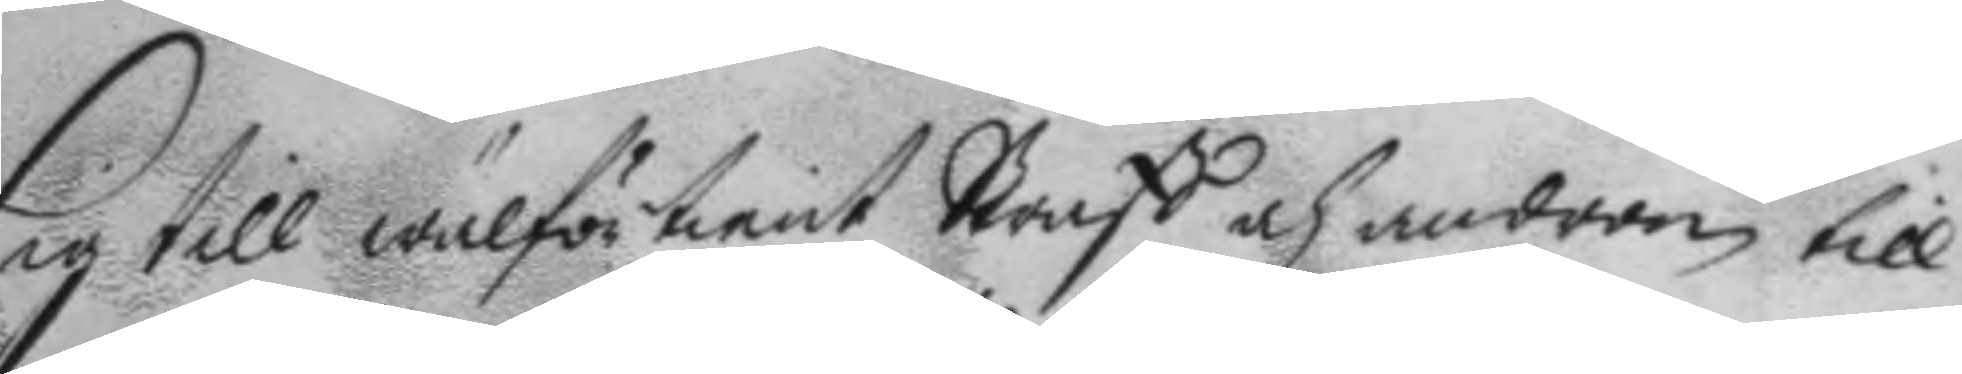sig till wälfrötient Straff och androm till
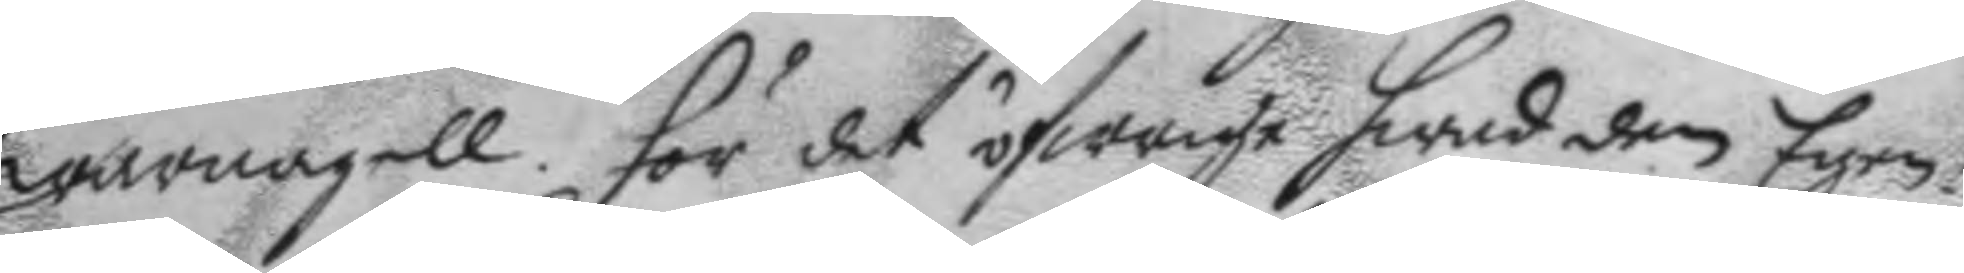warnagell. Gör det öfwrige hwad den Egen¬
